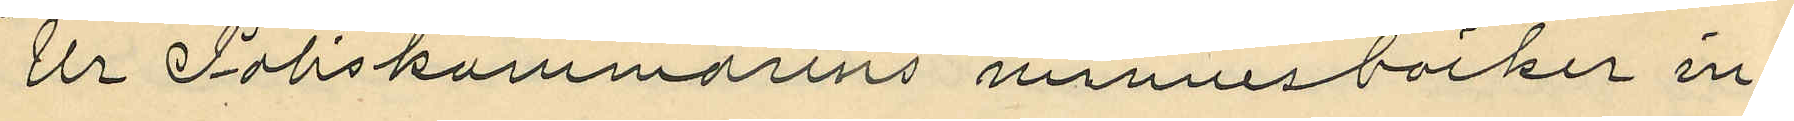Ur Poliskammarens minnesböcker in¬
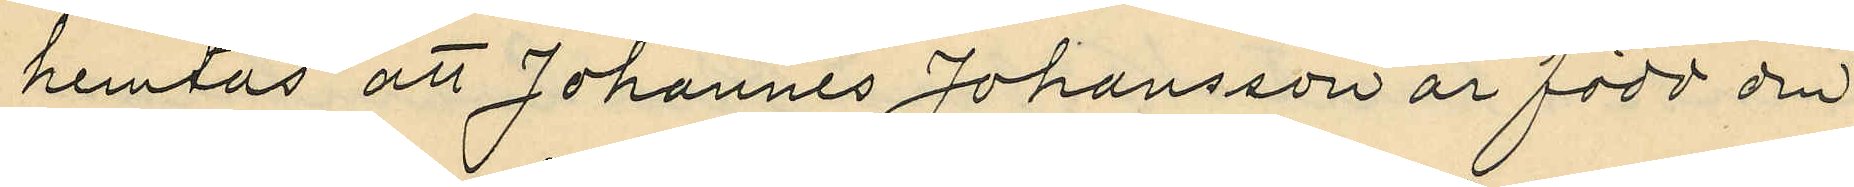hemtas att Johannes Johansson är född den
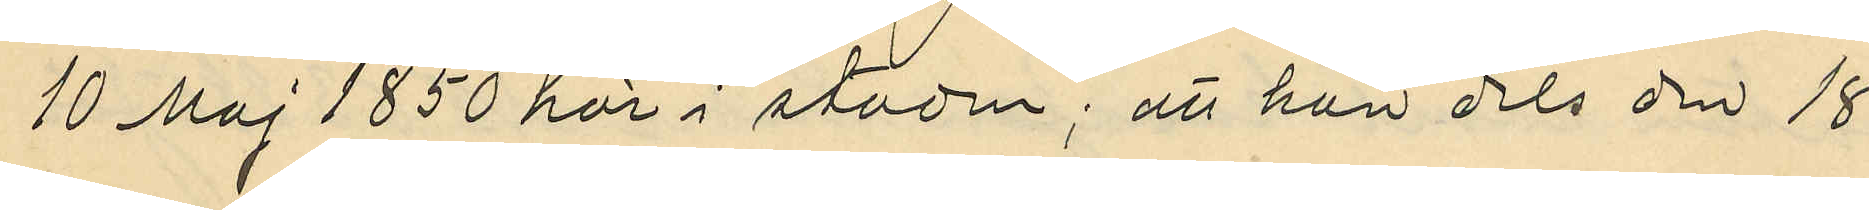10 Maj 1850 här i staden; att han dels den 18
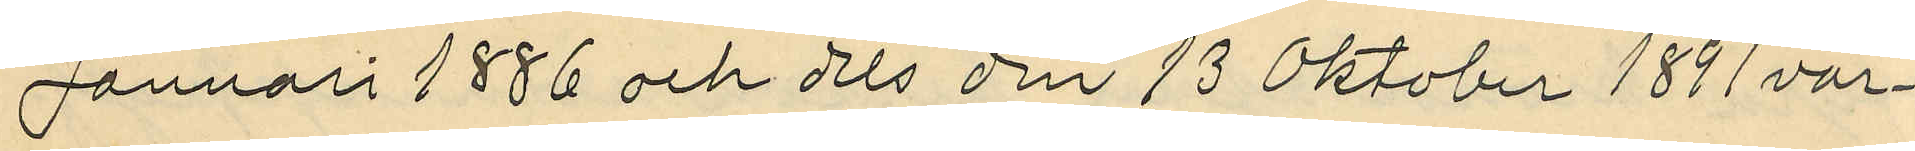Januari 1886 och dels den 13 Oktober 1891 var¬
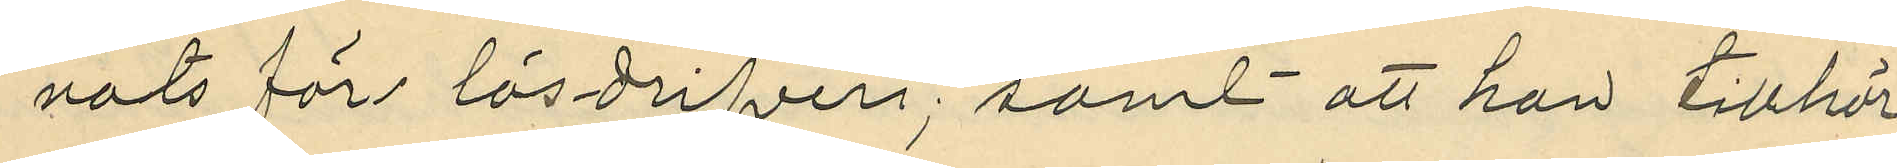nats för lösdrifveri; samt att han tillhör
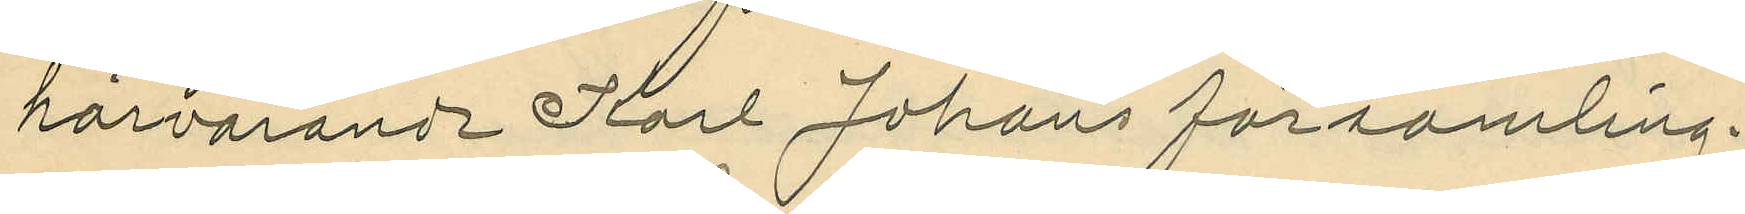härvarande Karl Johans församling.
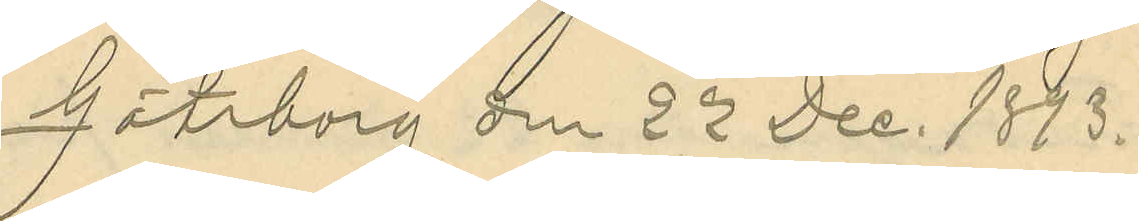Göteborg den 22 Dec. 1873.
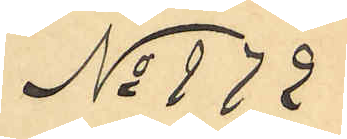No 172
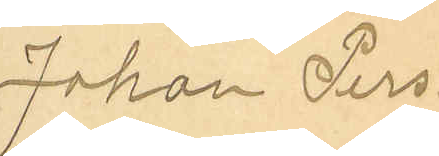Johan Pers¬
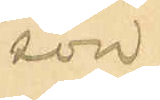son
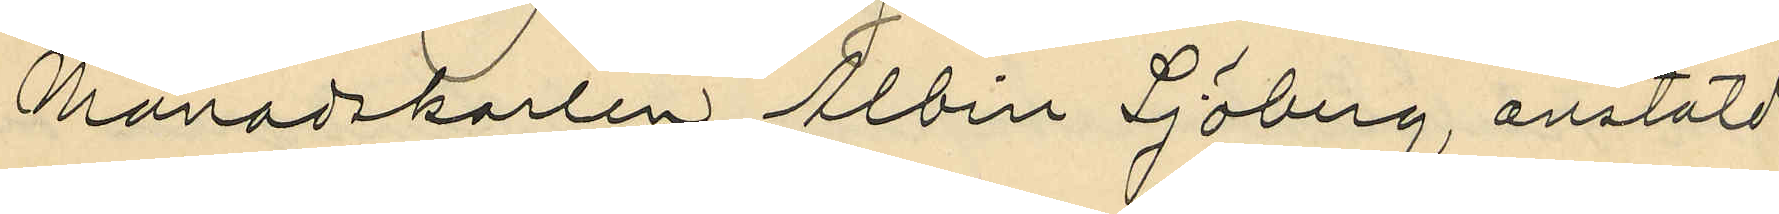Månadskarlen Albin Sjöberg, anstäld
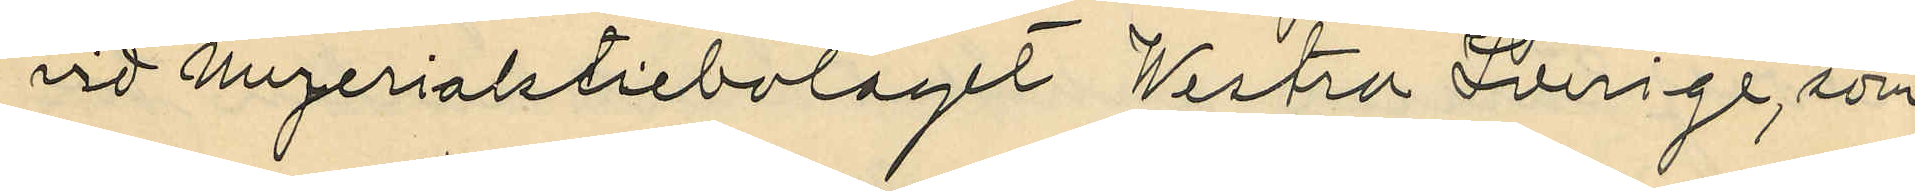vid Mejeriaktiebolaget Westra Sverige, som
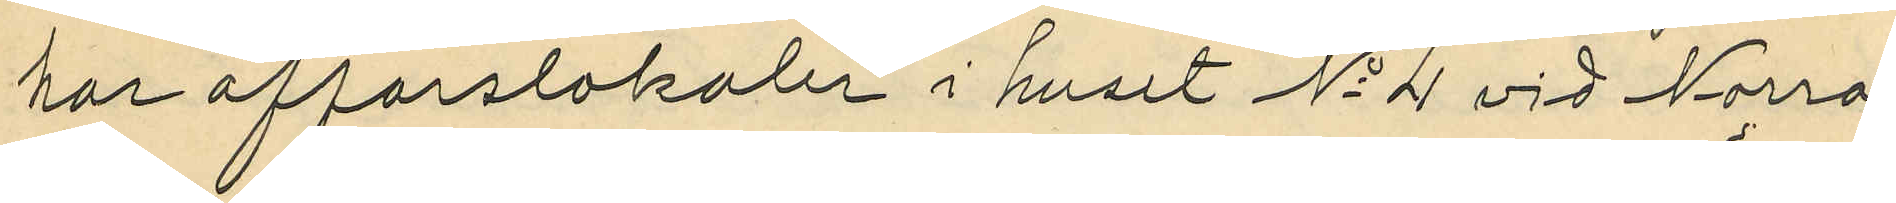har affärslokaler i huset No 4 vid Norra
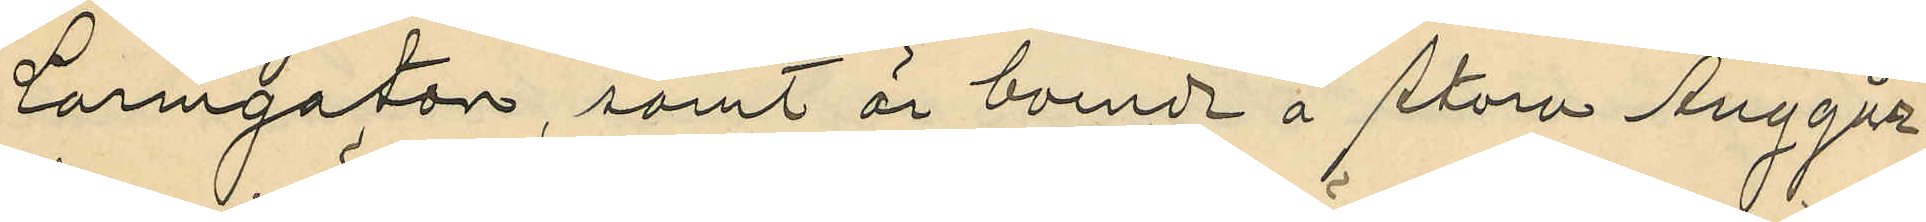Larmgatan, samt är boende å stora Änggår¬
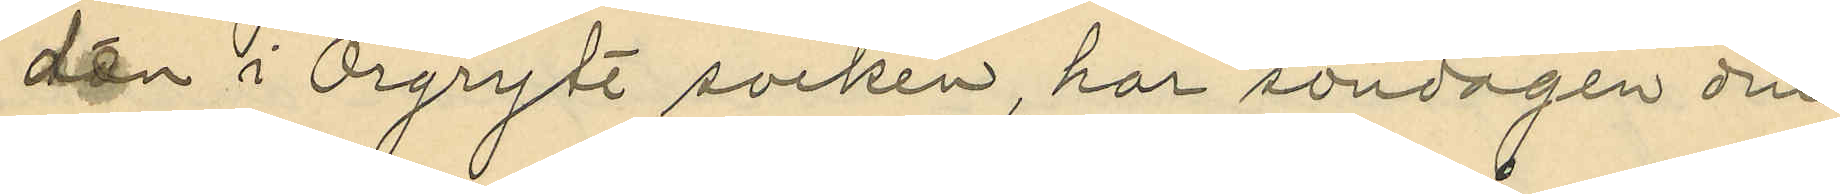den i Örgryte socken, har söndagen den
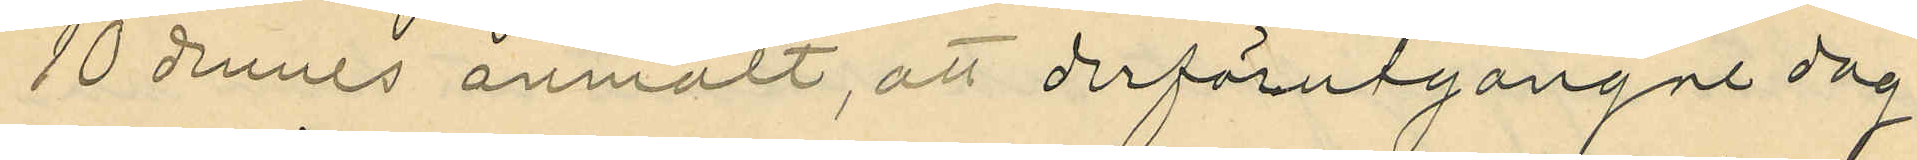10 dennes anmält, att derförutgångne dag
